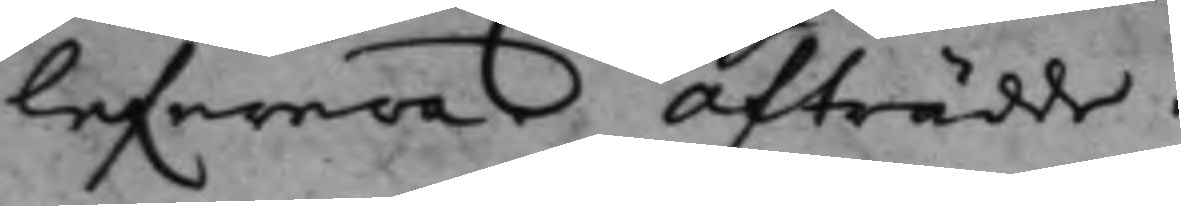lefwera. Afträdde.
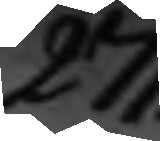271.
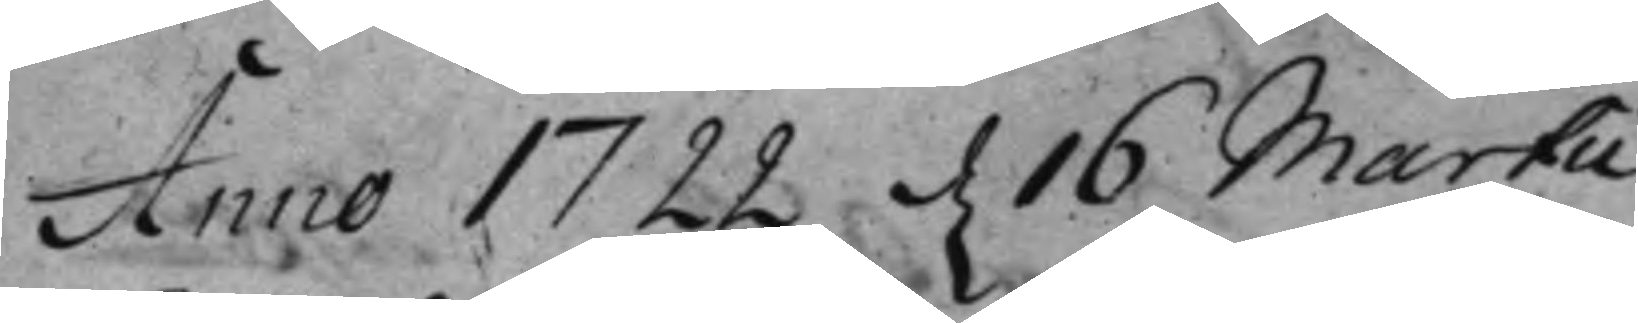Anno 1722 d. 6 Martii
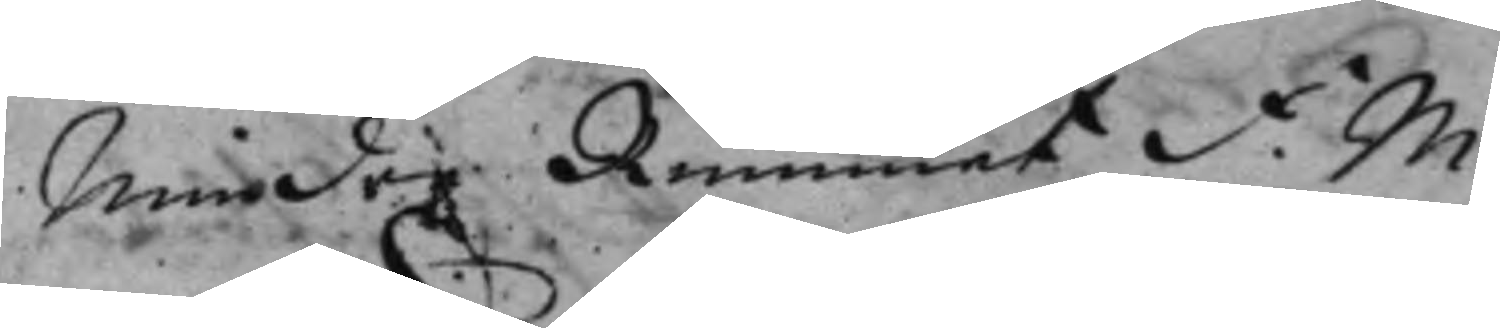Mindre Rummet F. M.
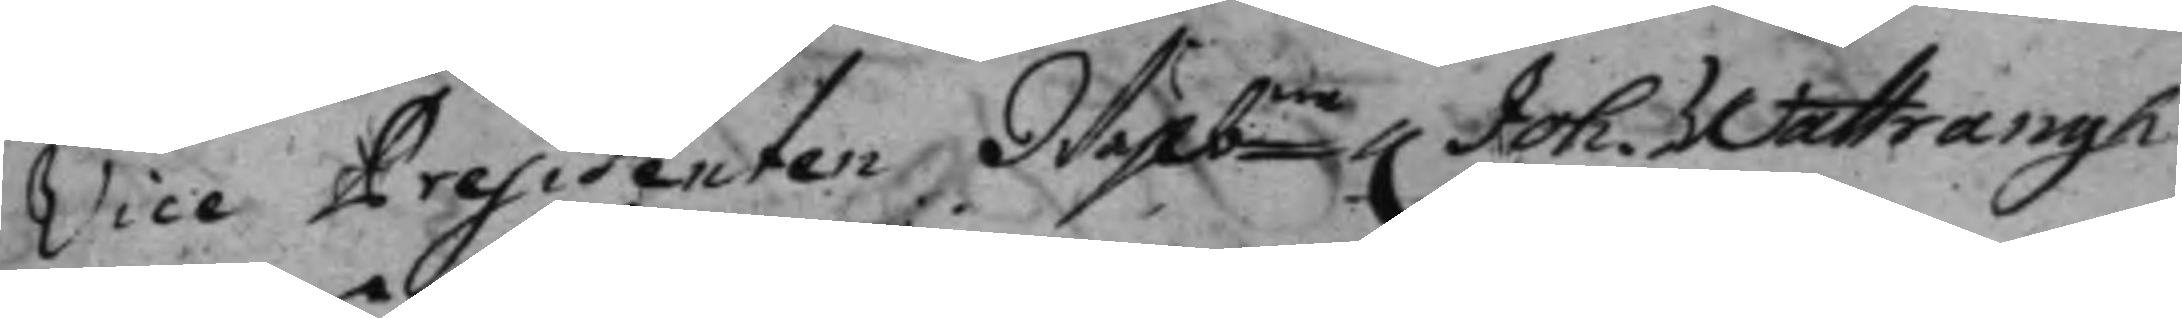Vice Presidenten Welbne h. Joh. Wattrangh.
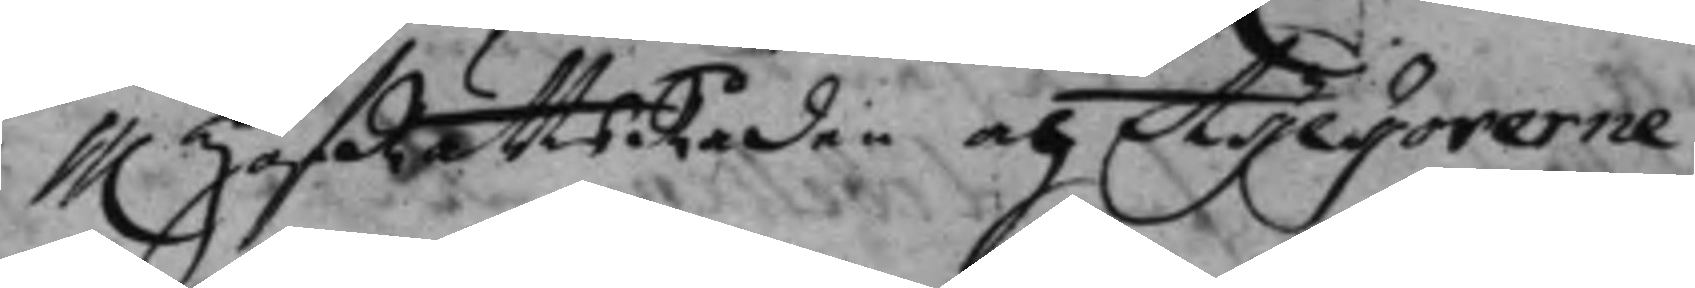hh. HofRättsRåden och Assessorerne
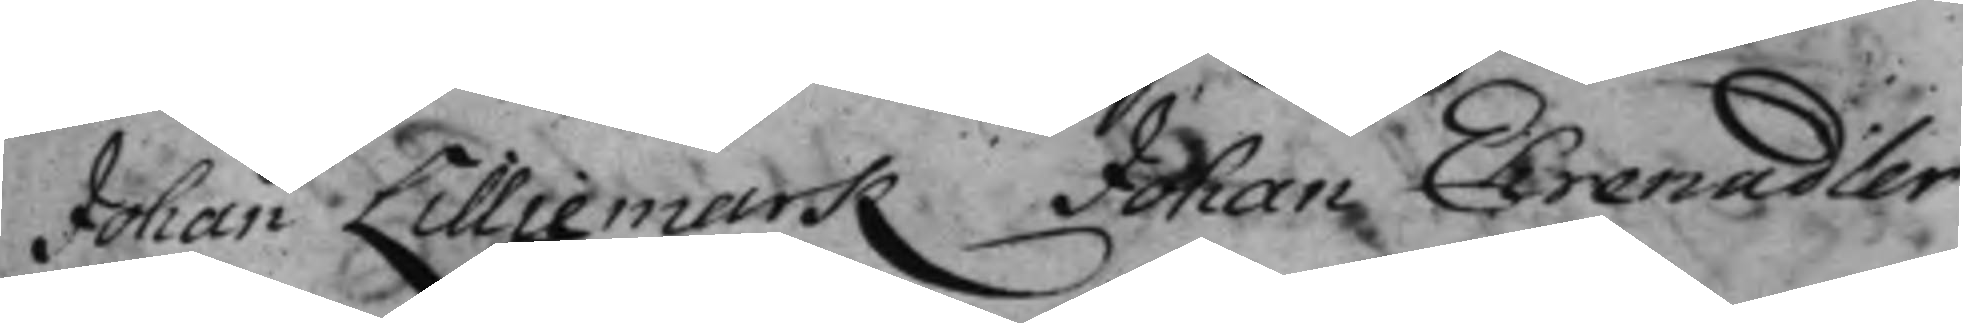Johan Lilliemark Johan Ehrenadler
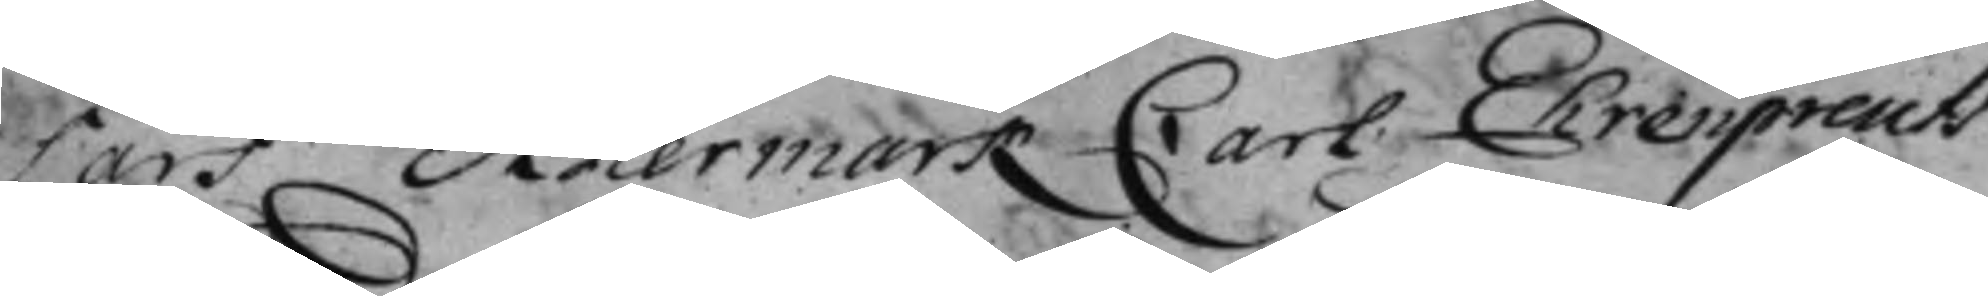Lars Adlermark, Carl Ehrenpreuß.
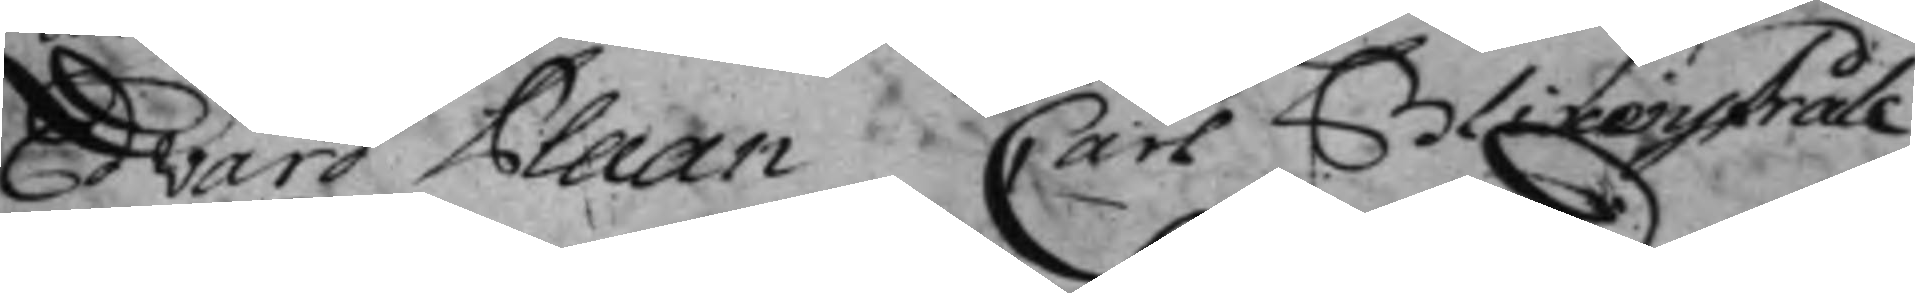Edvard Plaan Carl Blixenstråle
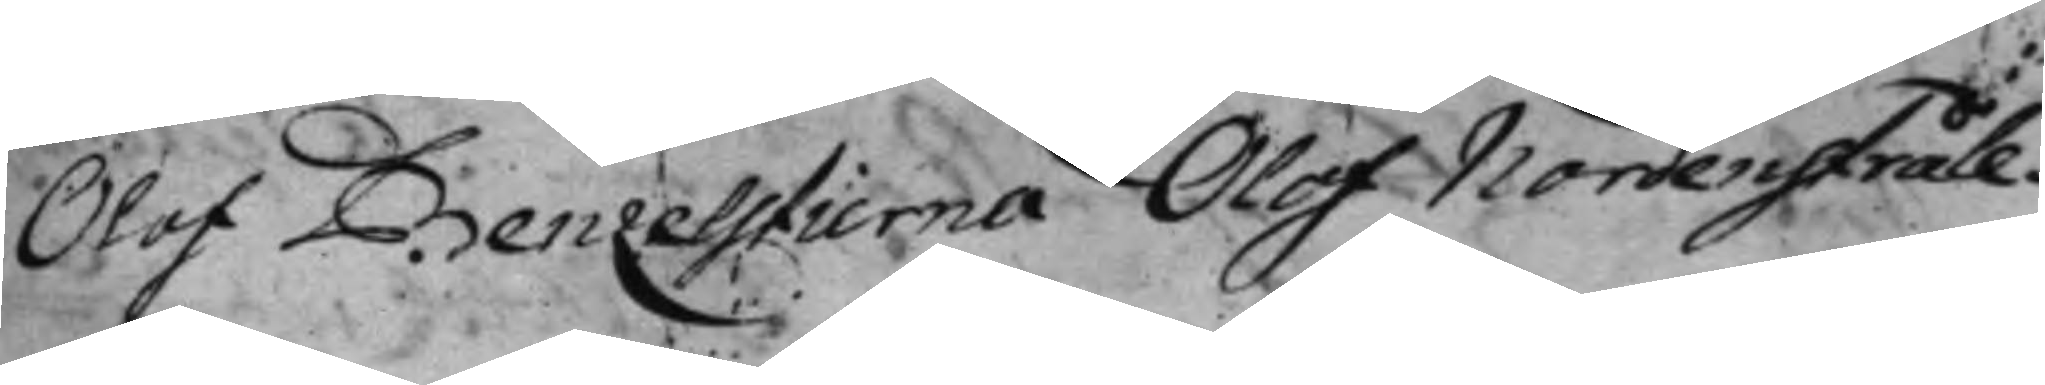Olof Benzelstierna, Olof Nordenstråle.
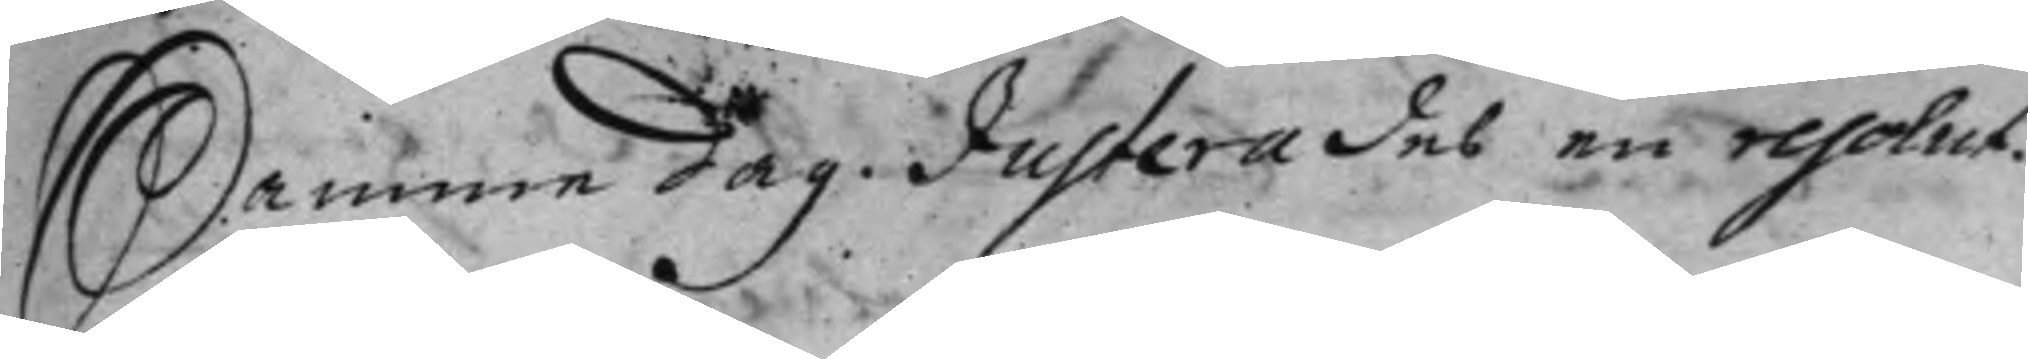Samme dag. Justerades en resolut.
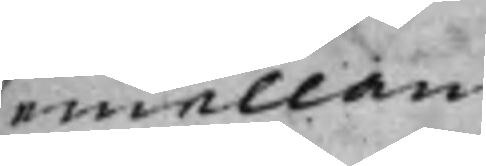emellan
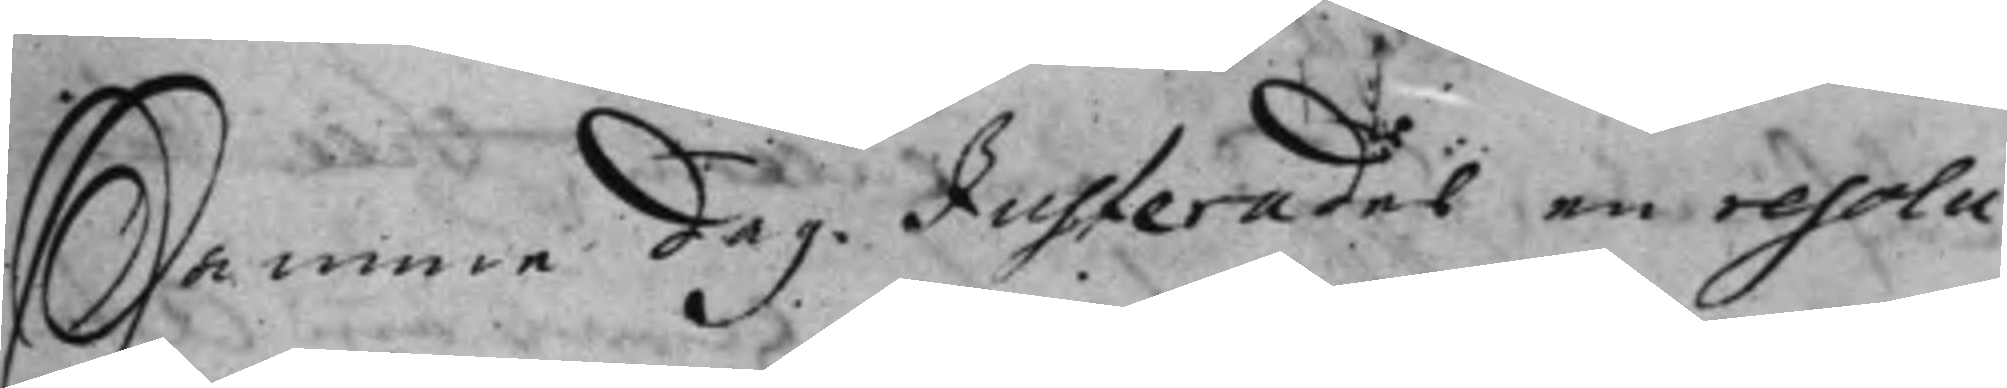Samme dag. Justerades en resolu¬
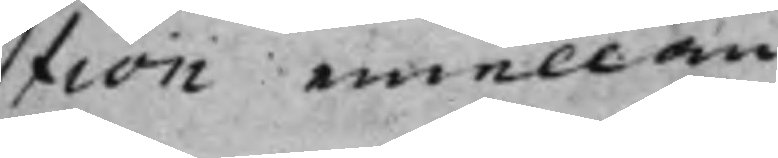tion emellan
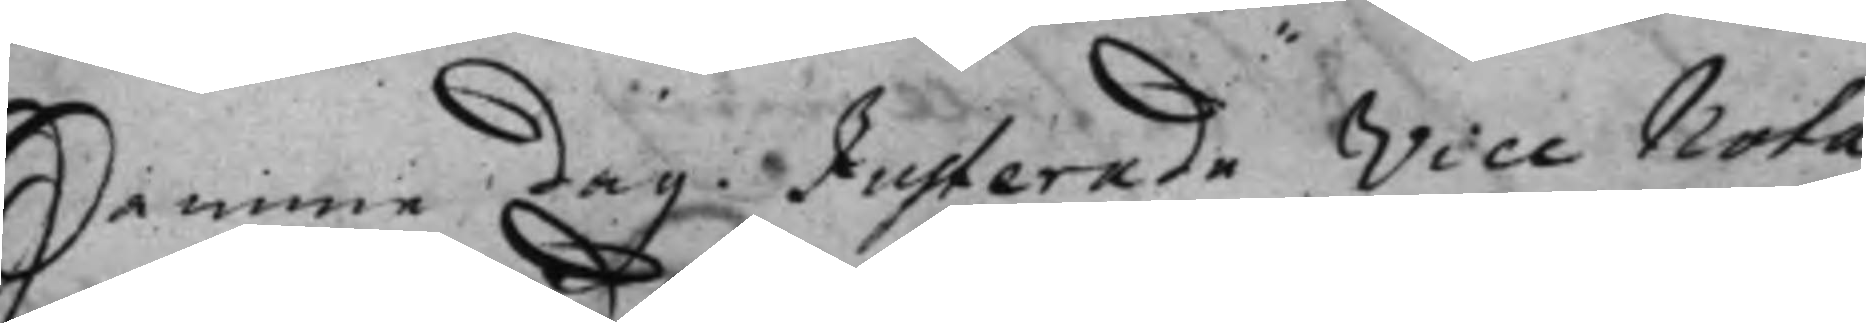Samme dag. Justerade Vice Nota¬
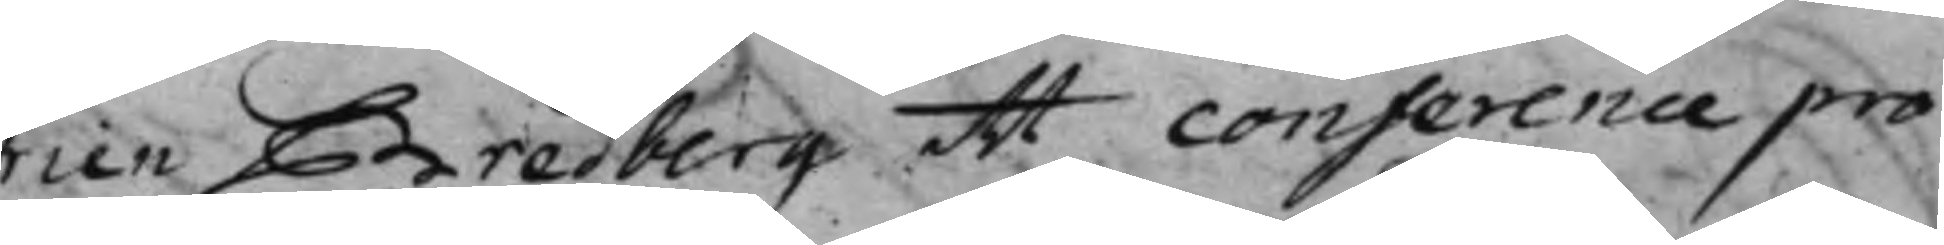rien Bredberg ett conference pro¬
